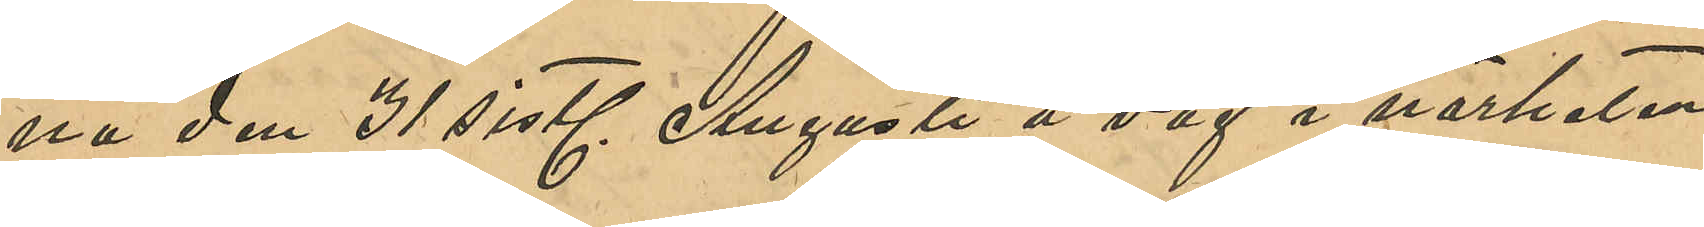na den 31 sistl. Augusti å väg i närheten
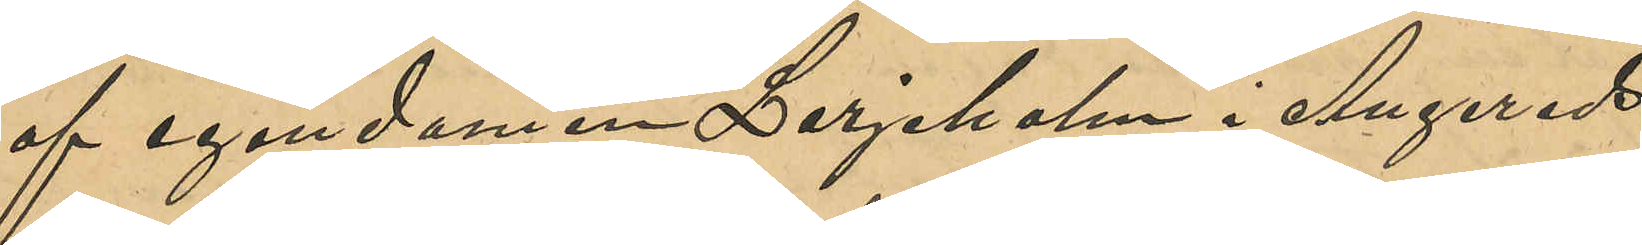af egendomen Larjeholm i Angereds
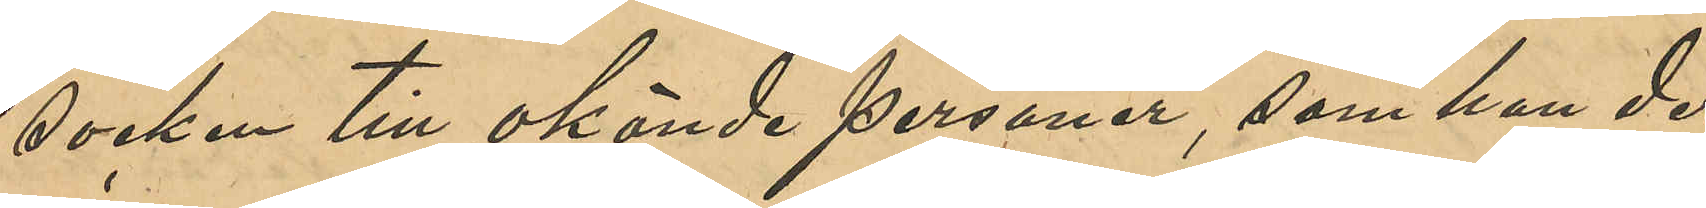socken till okände personer, som han der
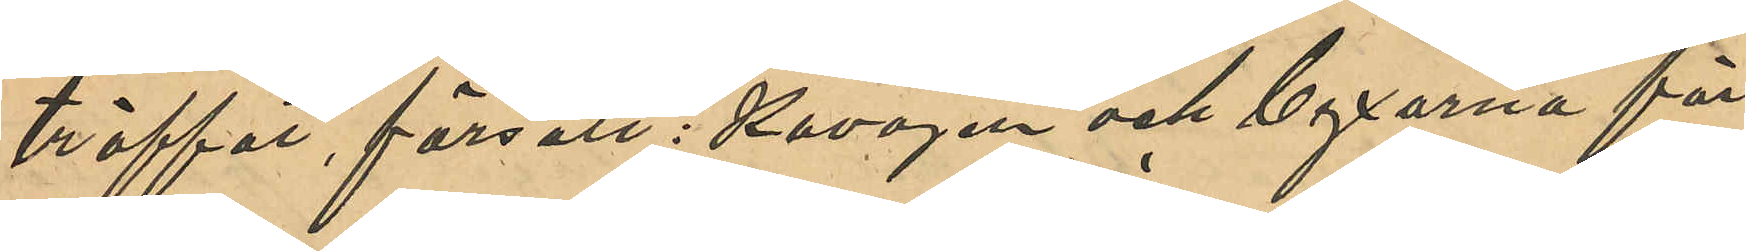träffat, försålt: Kavajen och byxorna för
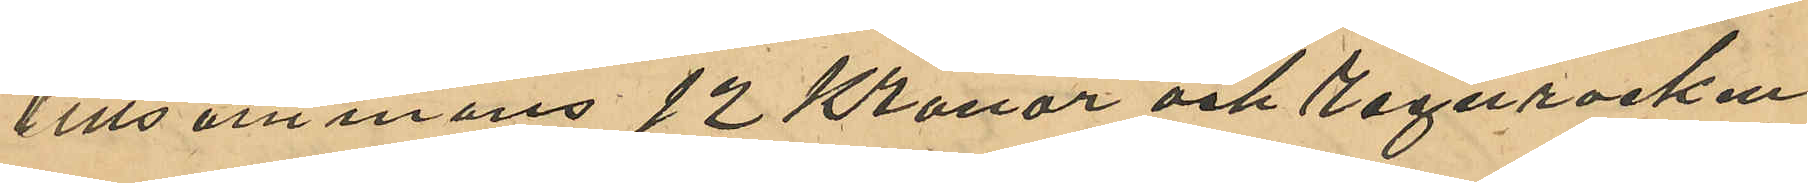tillsammans 12 Kronor och Regnrocken
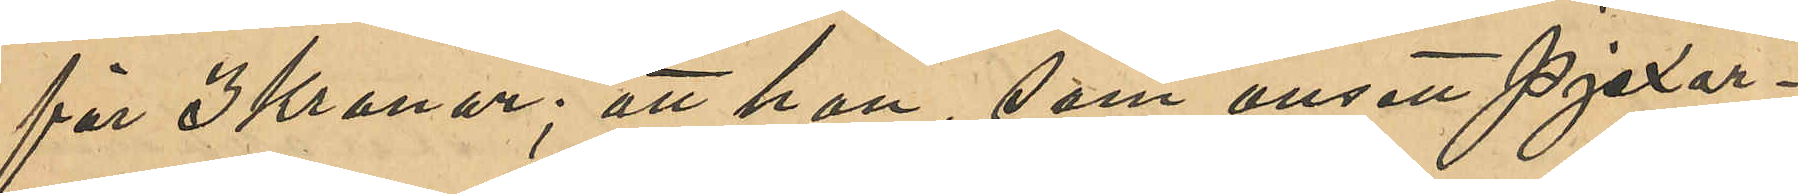för 3 Kronor; att han, som ansett pjexor¬
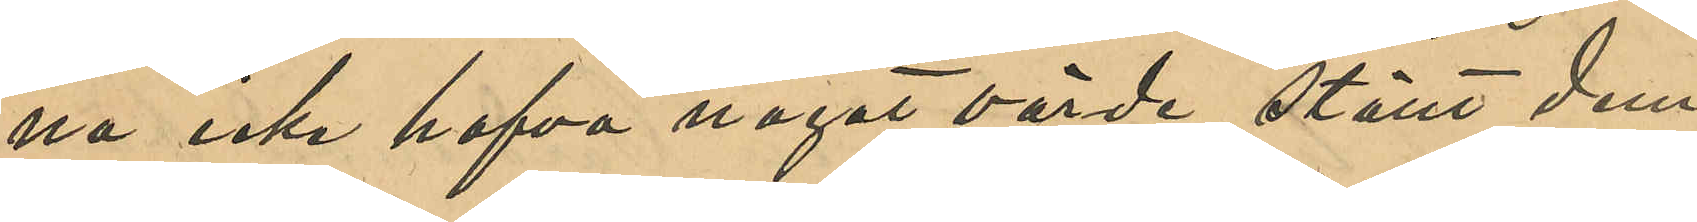na icke hafva något värde, ställt dem
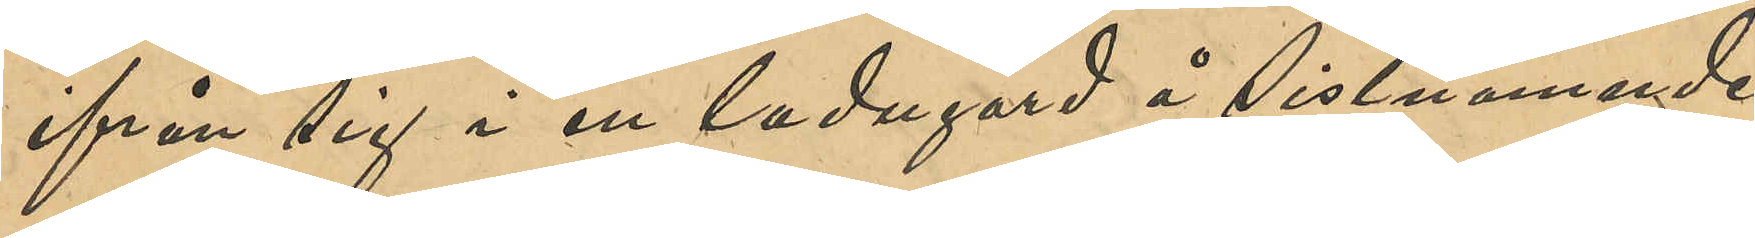ifrån sig i en ladugård i sistnämnde
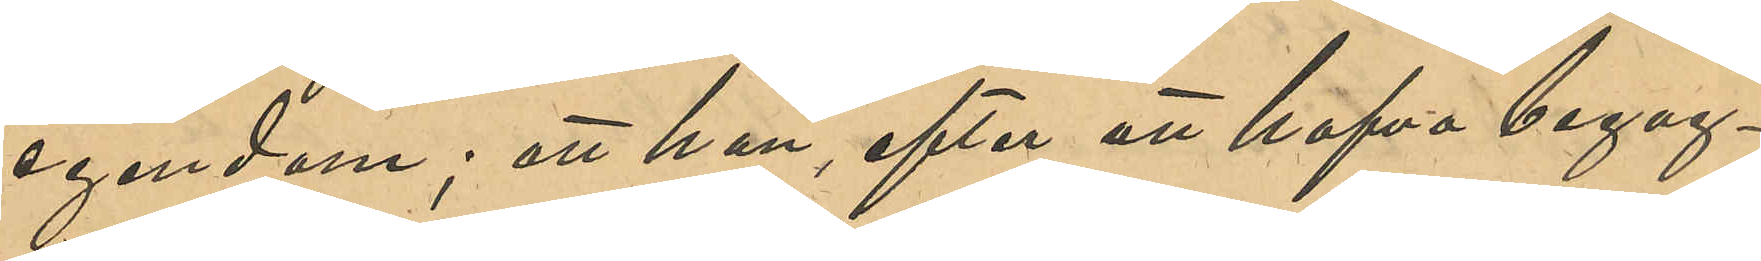egendom; att han, efter att hafva begag¬
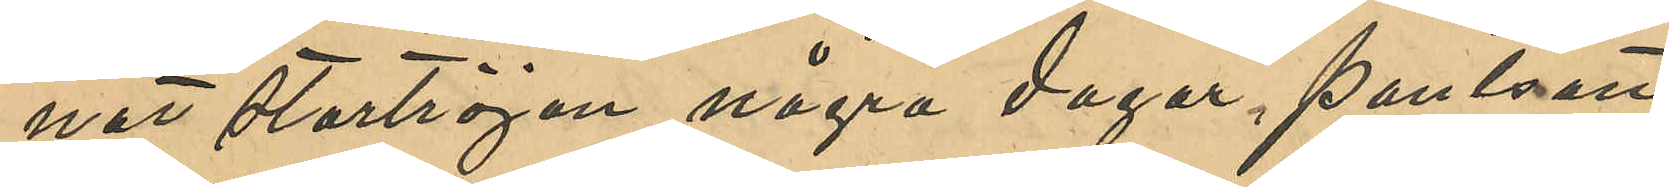nat stortröjan några dagar, pantsatt
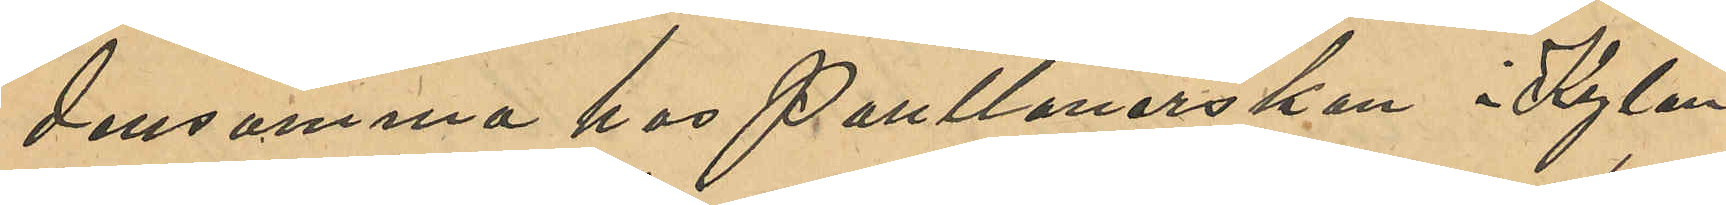densamma hos Pantlånerskan Kylan¬
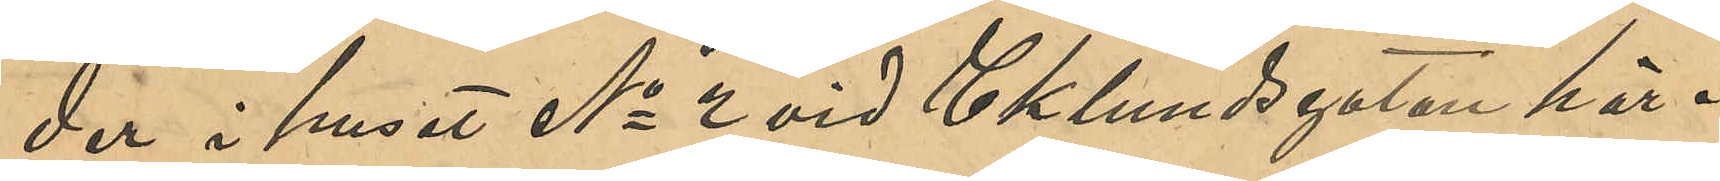der i huset No 2 vid Eklundsgatan här i
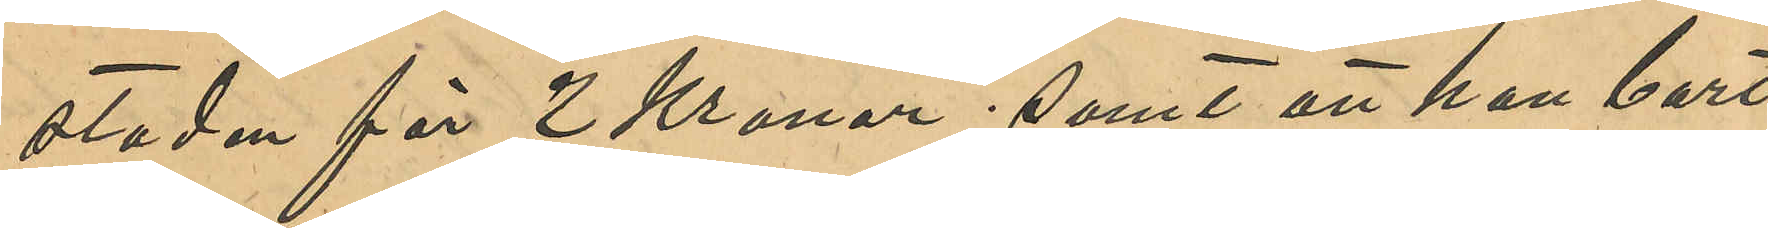staden för 2 Kronor; samt att han bort¬
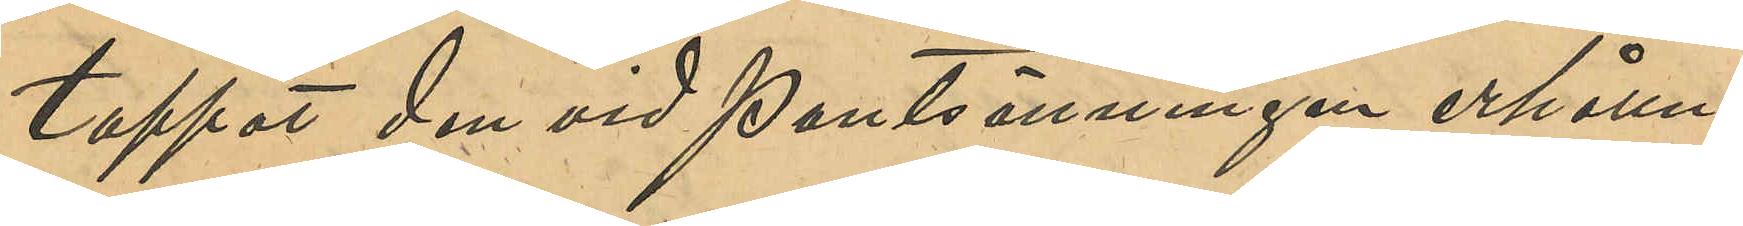tappat den vid pantsättningen erhållne
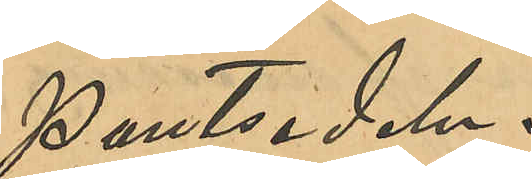pantsedeln.
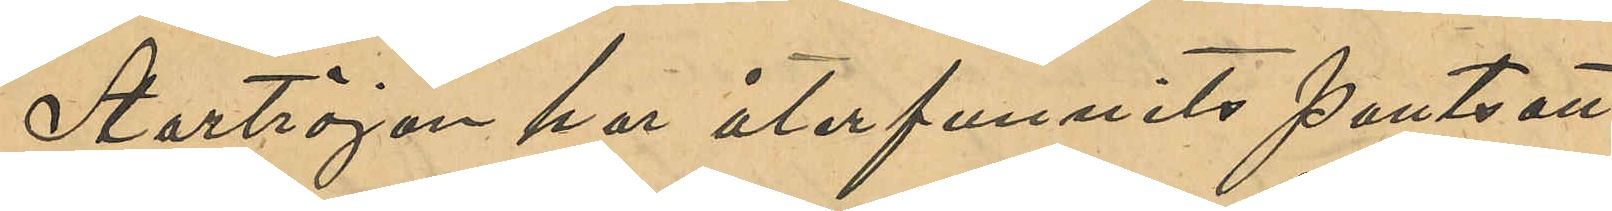Stortröjan har återfunnits pantsatt
